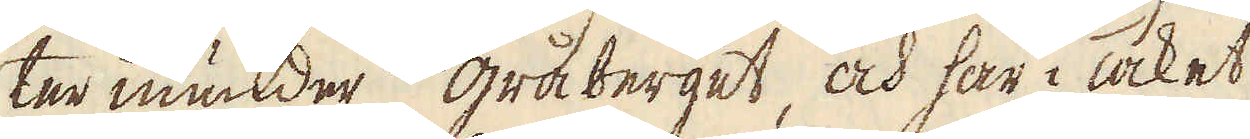ter inunder grå berget, och har i Taket
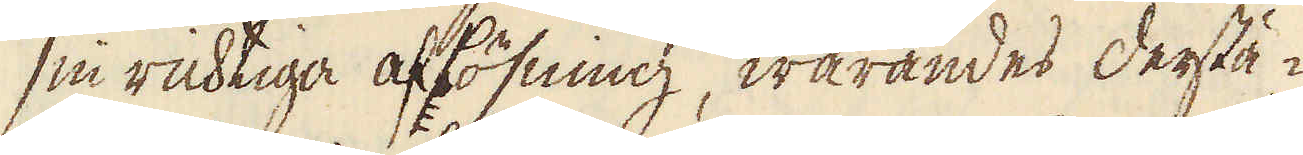sin richtiga aflösning, warandes derstä-
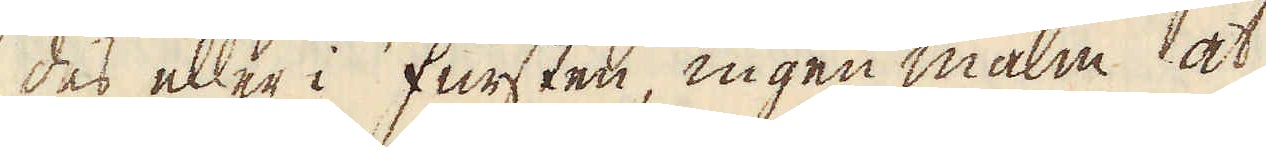des eller i fursten, ingen malm at
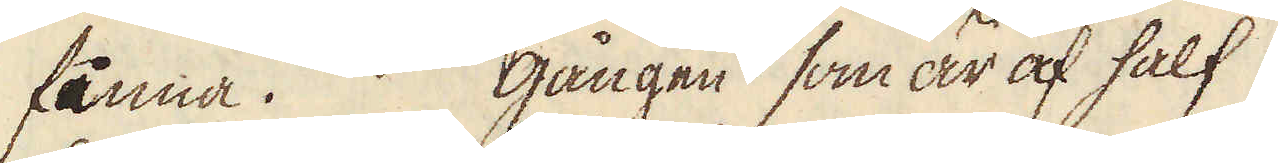finna. Gången som är af half
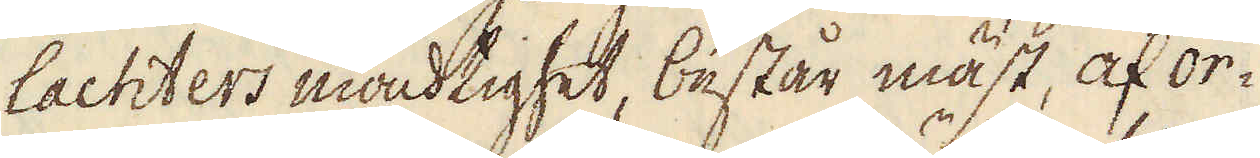lachters mächtighet, består mäst, af or-
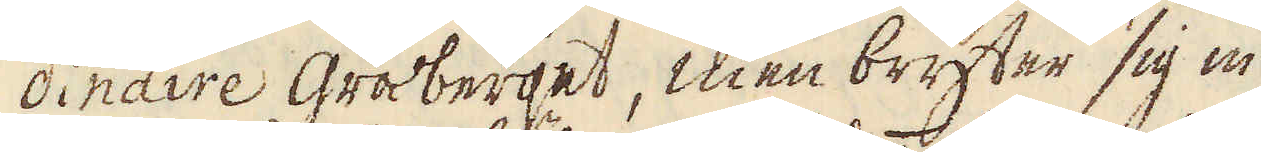dinaire gråberget, men bryter sig in
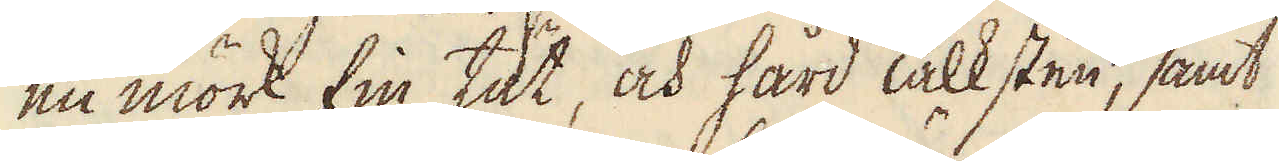en mörk fin, tät, och hård Talksten, samt
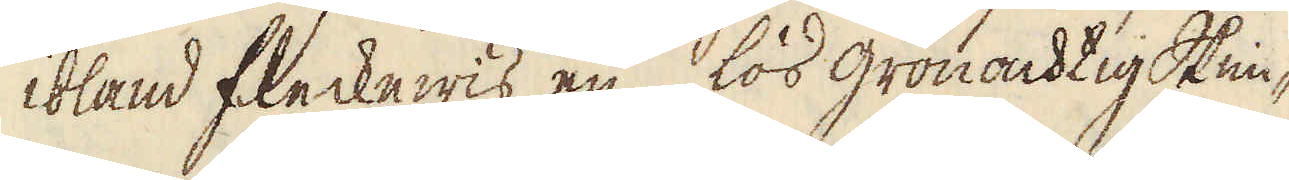ibland fleckewis en lös grönachtig Skim-
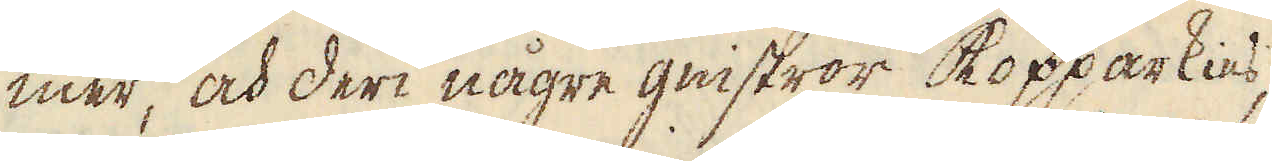mer, och deri någre gnistror kopparkies,
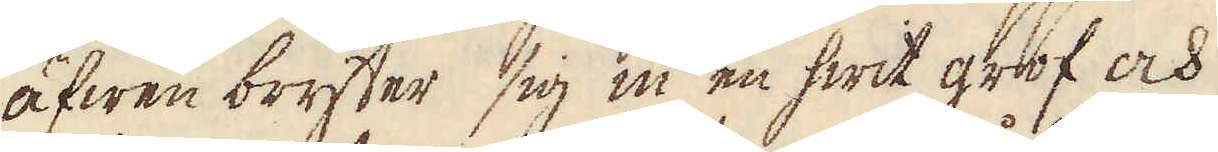äfwen bryter sig in en hwit grof och
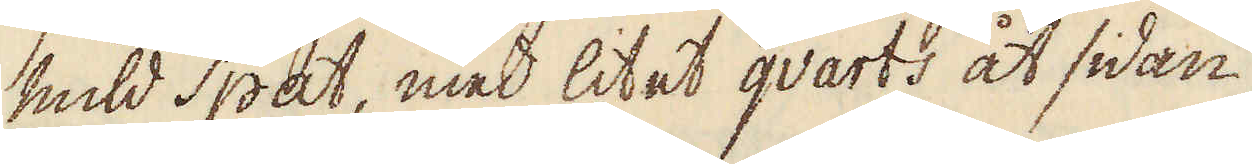mild Spat, med litet qvarts åt sidan
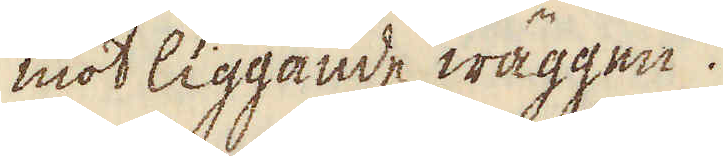mot liggande wäggen.
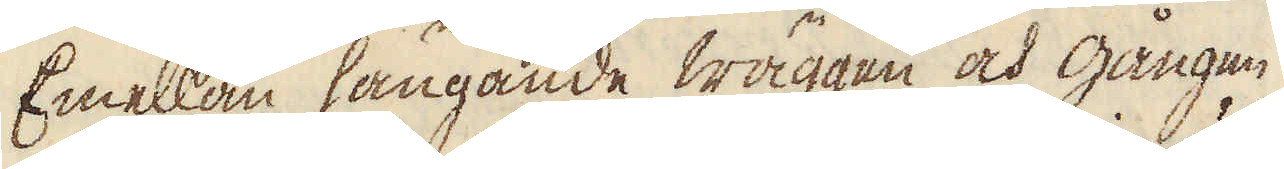Emellan hängande wäggen och gången
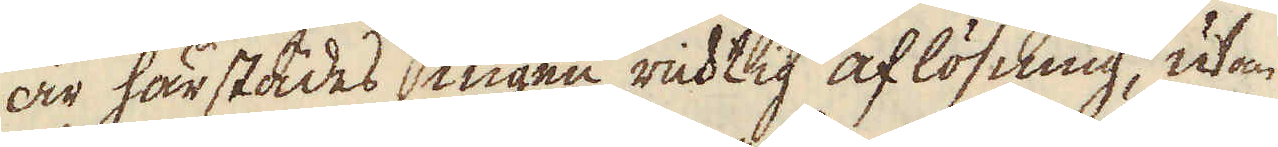är härstädes ingen richtig aflösning, utan
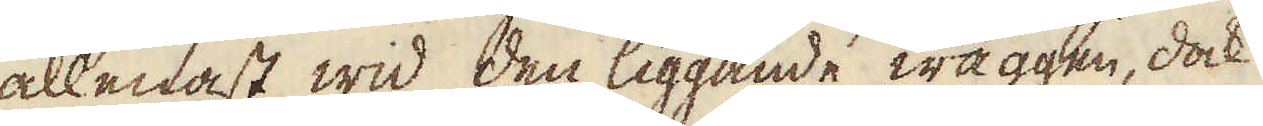allenast wid den liggande wäggen, dock
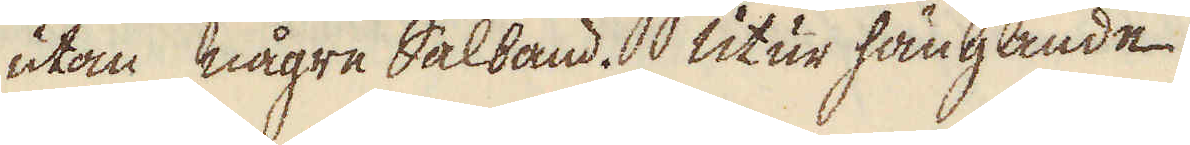utan någre Salband. Utur hängande
